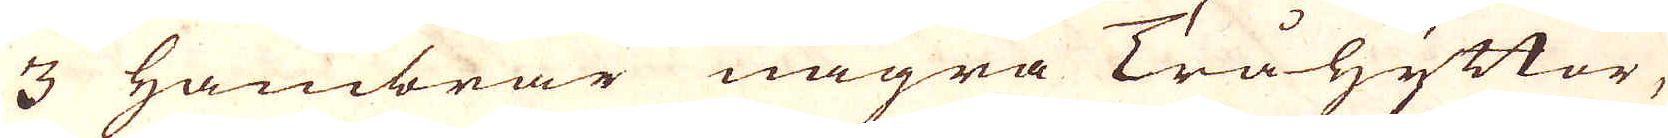3 hambrar några Tråhyttor,
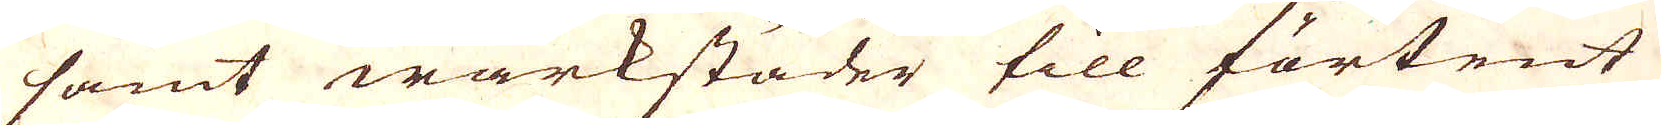samt wärkstäder till förtent
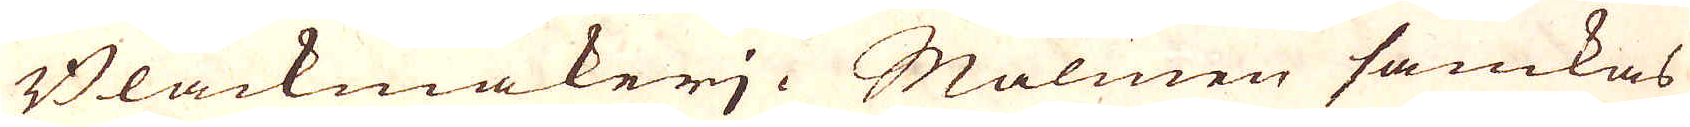Bläckmakeri. Malmen samkas
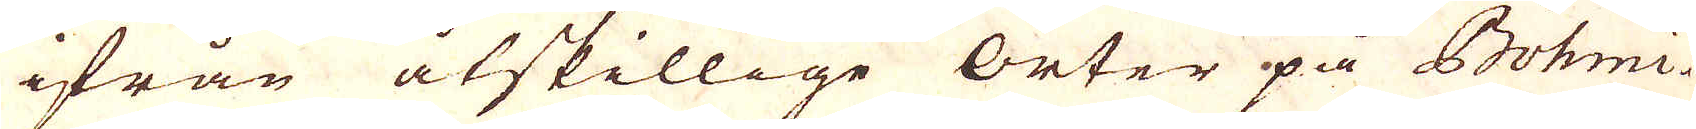ifrån åtskillige orter på Böhmi-
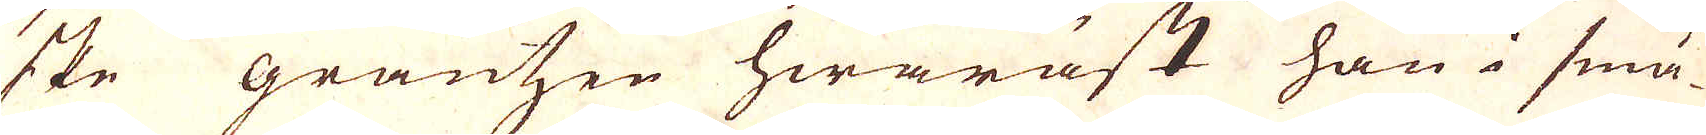ske gräntzen hwaräst han i små-
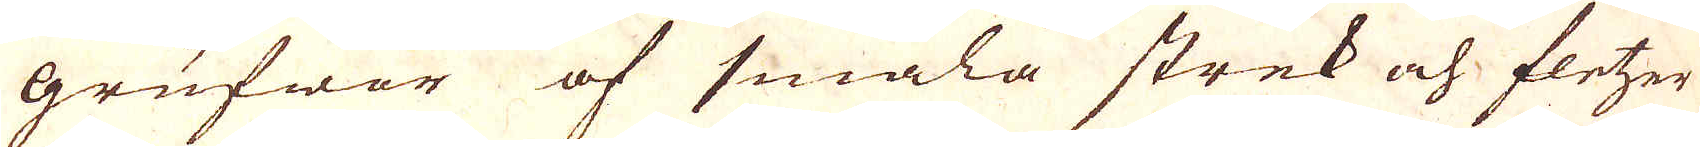grufwor af smala strek och fletzer
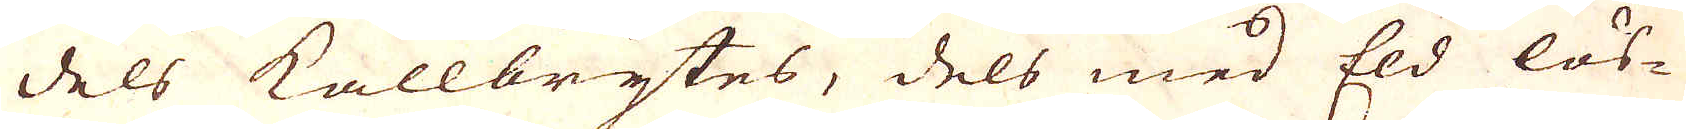dels kallbrytes, dels med Eld lös-
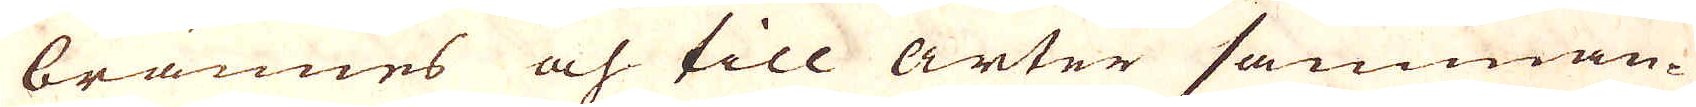brännes och till arter samman-
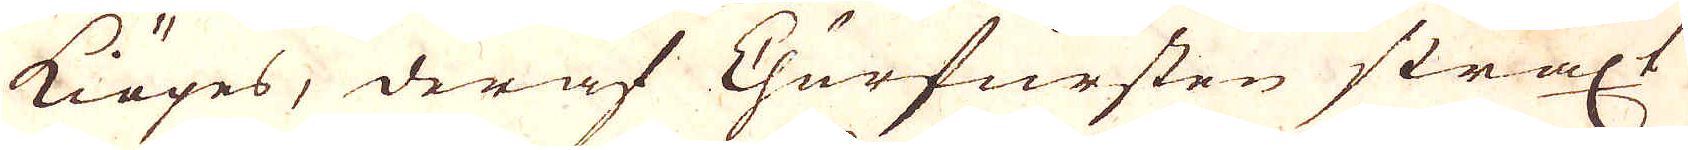kiöpes, deraf Churfursten straxt
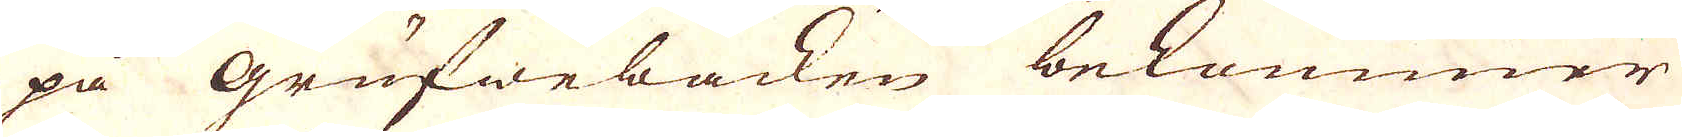på grufwebacken bekommer
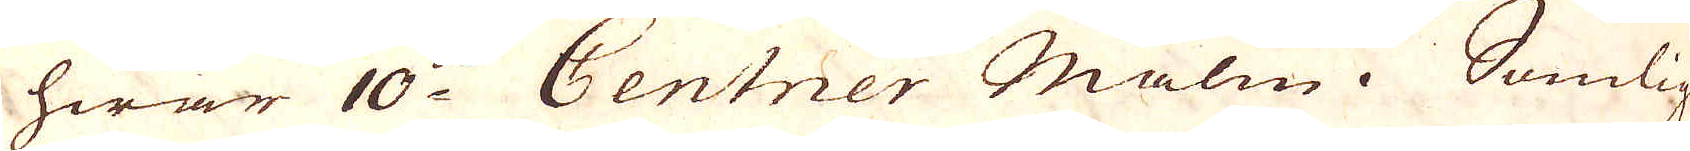hwar 10:de Centner Malm. Somlig
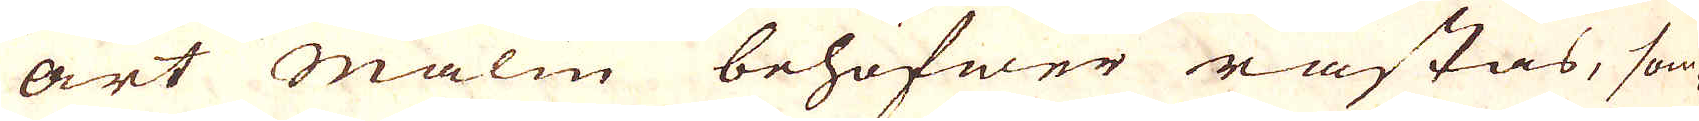art Malm behöfwer råstas, som-
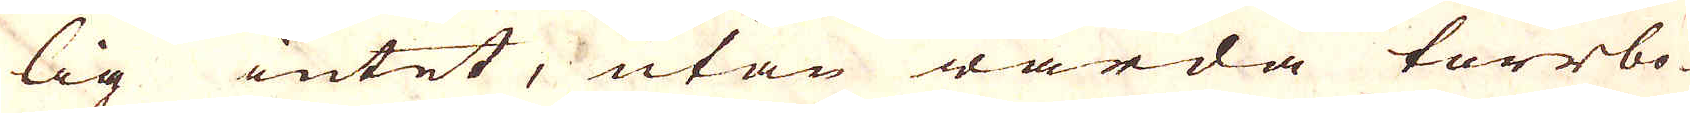lig intet, utan warda torrbo-
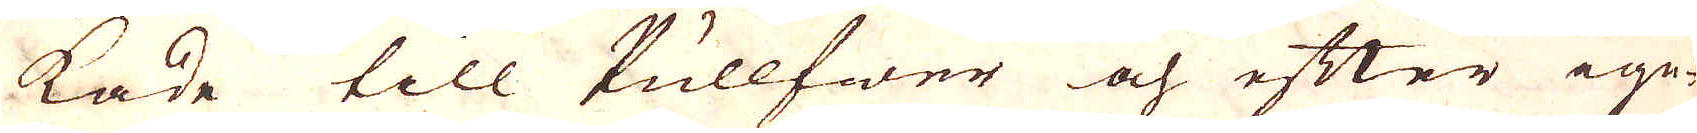kade till Pullfwer och efter ige-
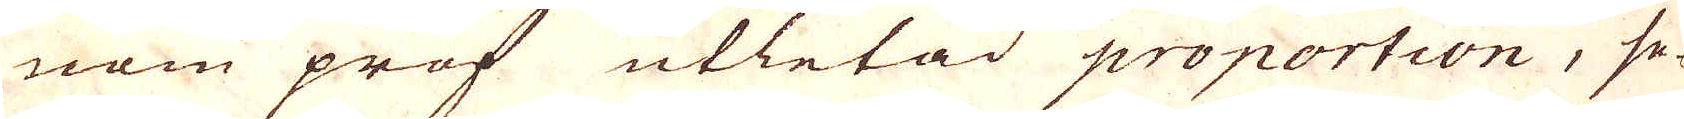nom prof utletad proportion, se-
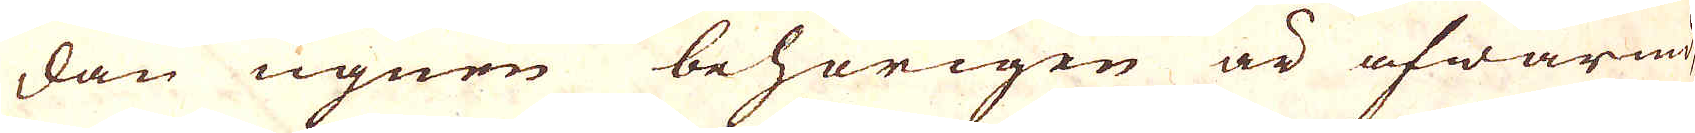dan ugnen behörigen är afwärmd,
